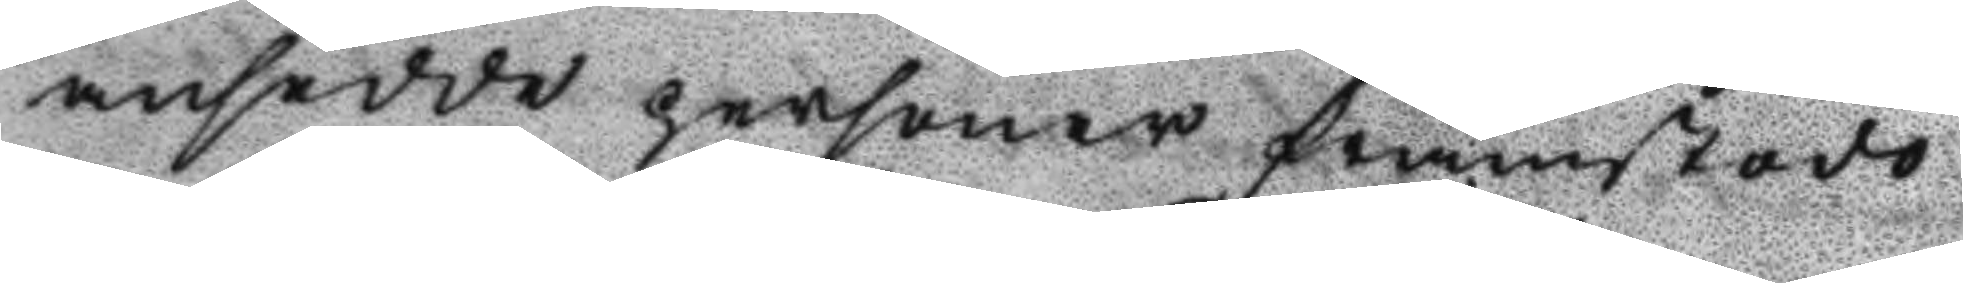ansedde personer framstodo
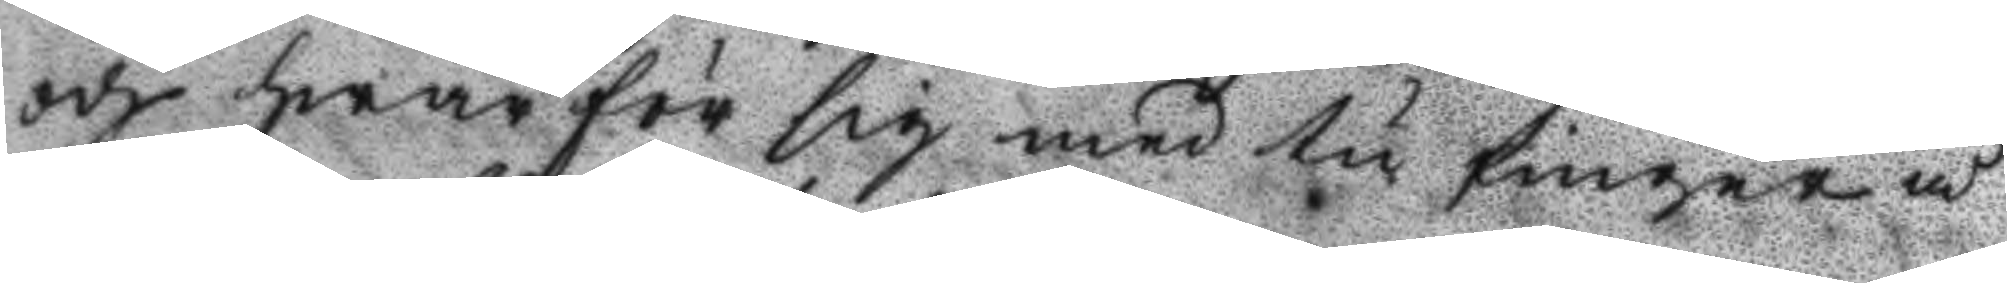och hwarför sig med tu finger å
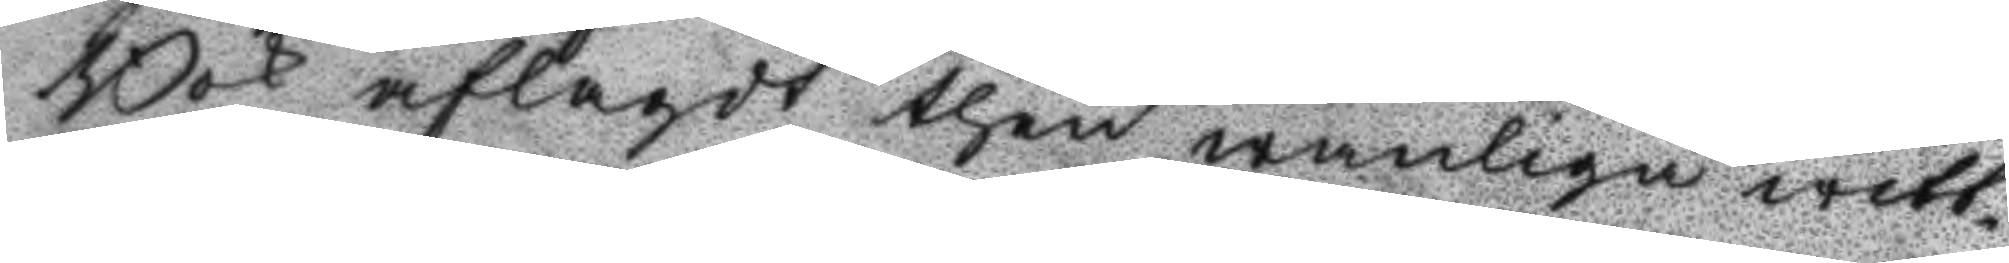Bok aflagdt then wanliga witt¬
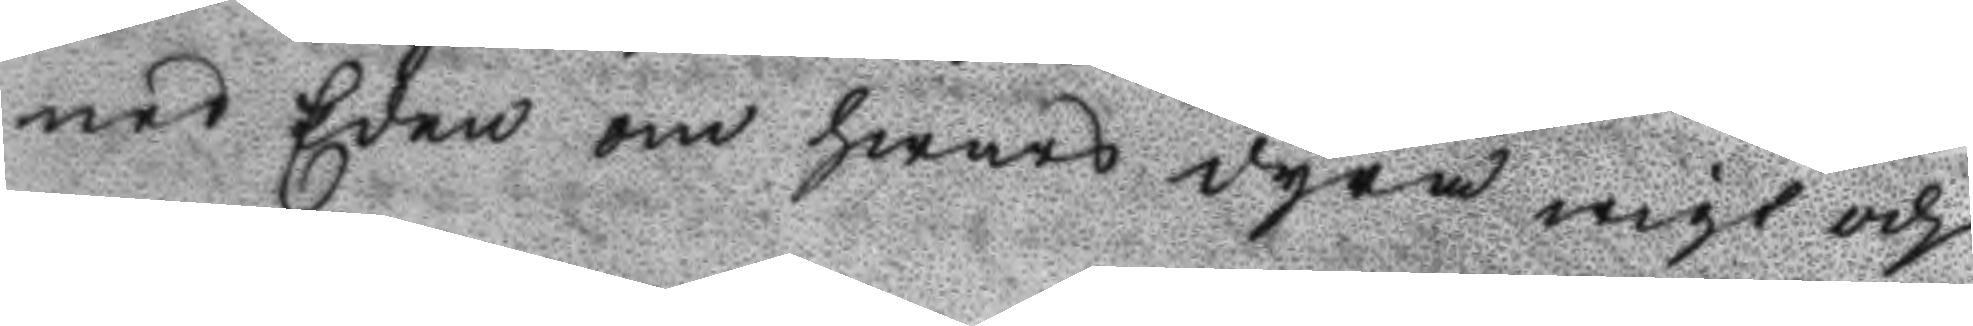nes Eden om hwars dyra wigt och
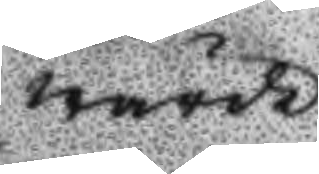wärde
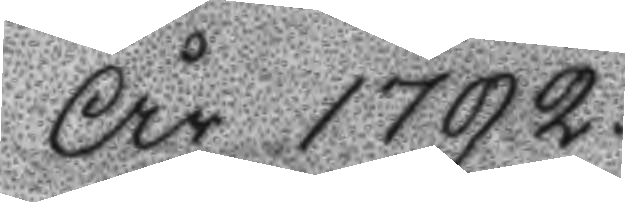År 1792.
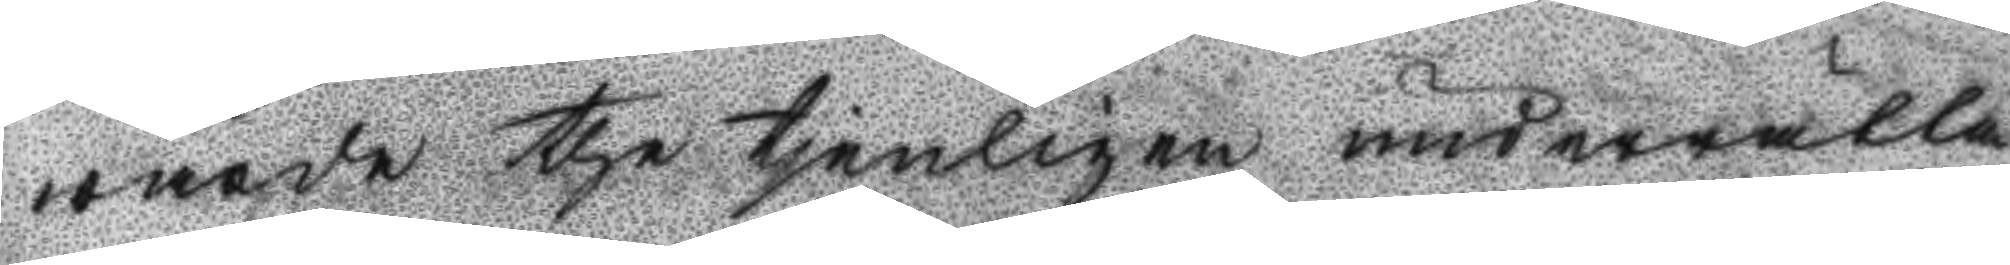wärde the tjenligen underrätta¬
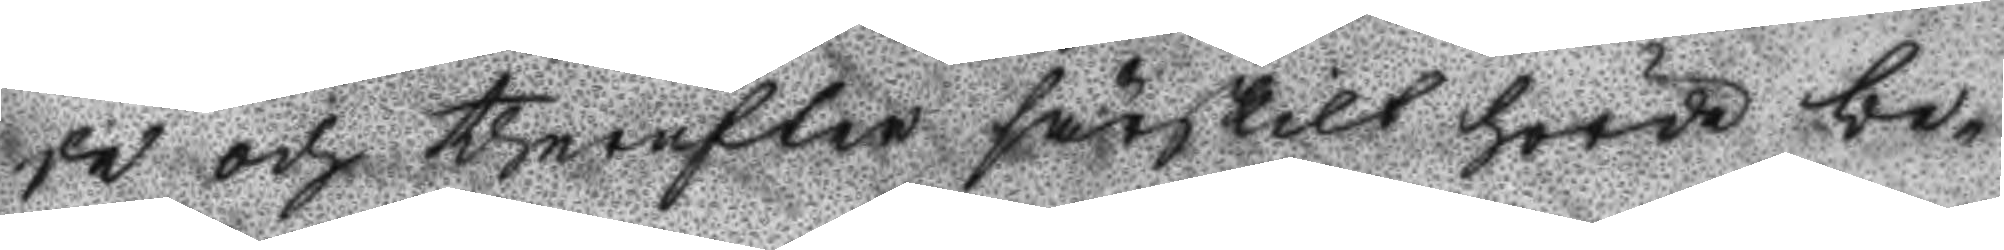de och therefter särskilt hörde be¬
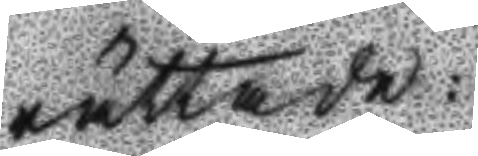rättade:
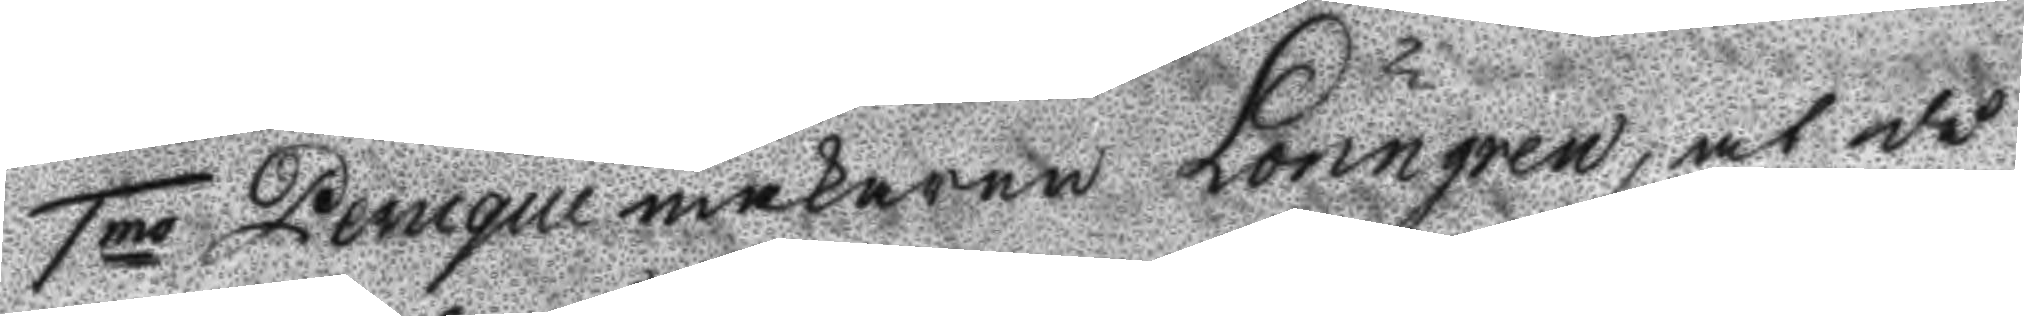1mo Peruqumakaren Lönngren, at då
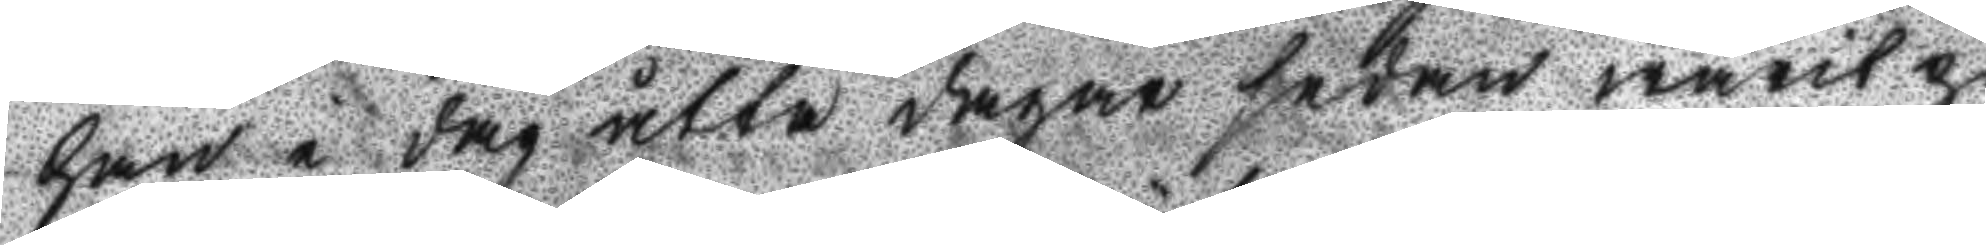han i dag åtta dagar sedan warit på
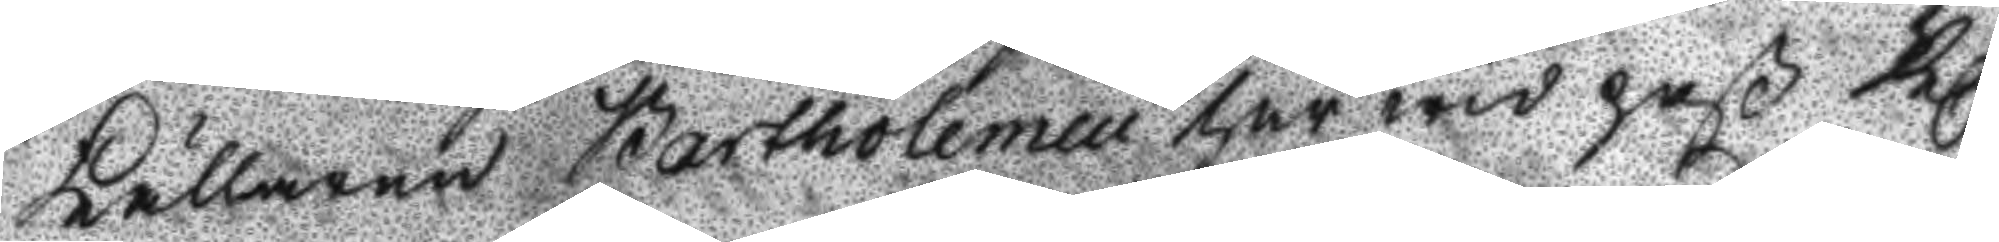Källaren Bartholemeii har wid paß Kl.
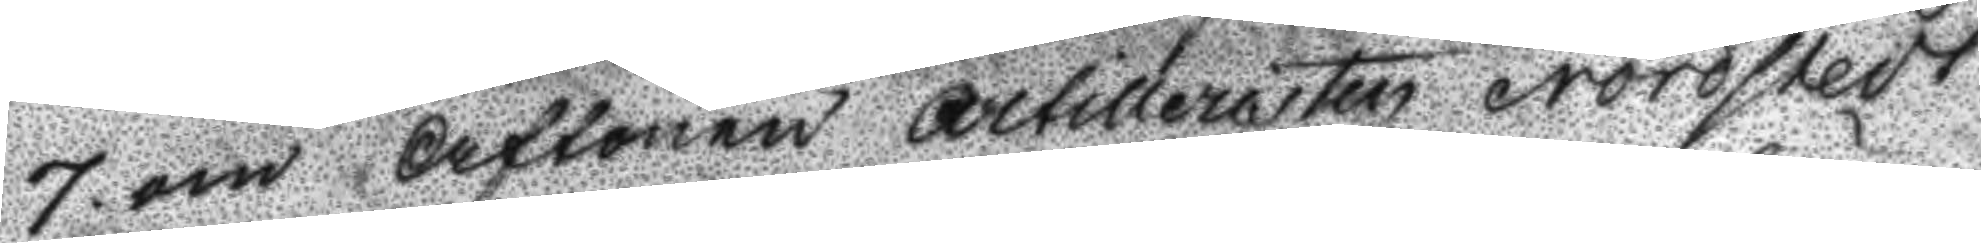7 om Aftonen Artilleristen Nordstedt
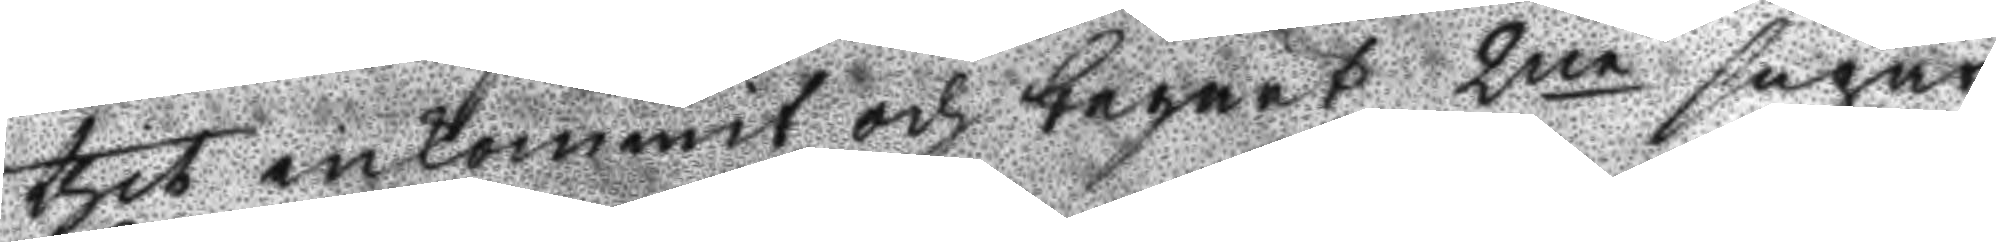thit inkommit och begärt 2ne supar
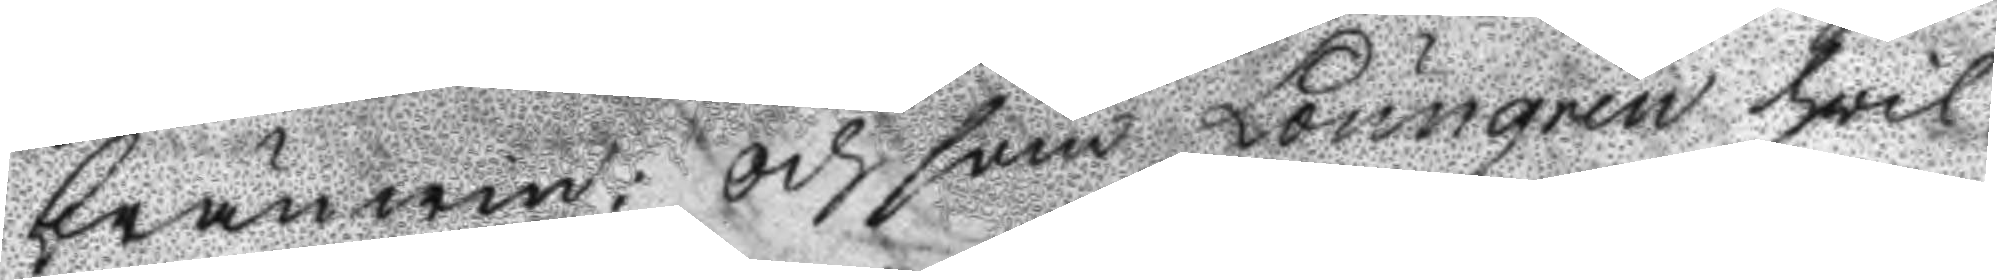bränwin; och som Lönngren hwil¬
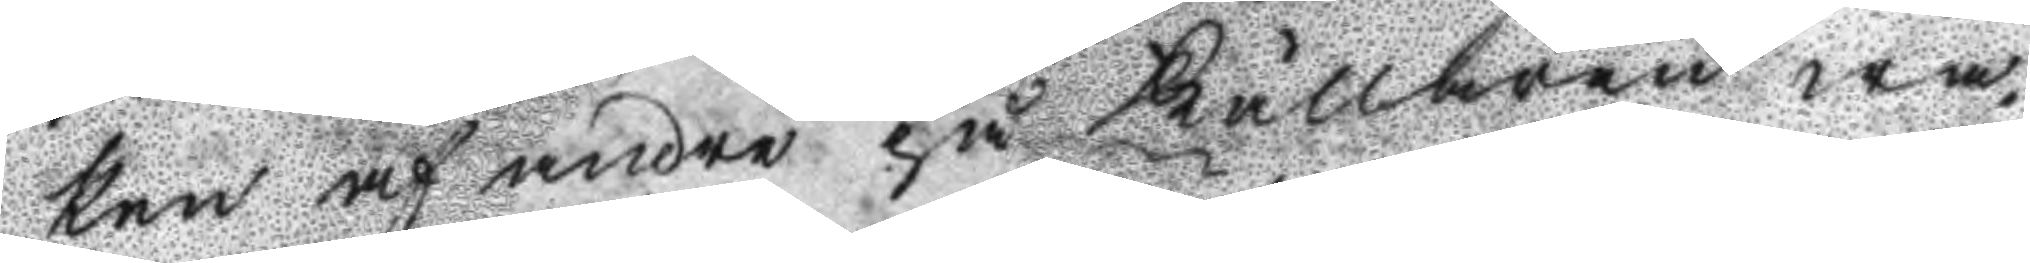ken af andre på Källaren wa¬
